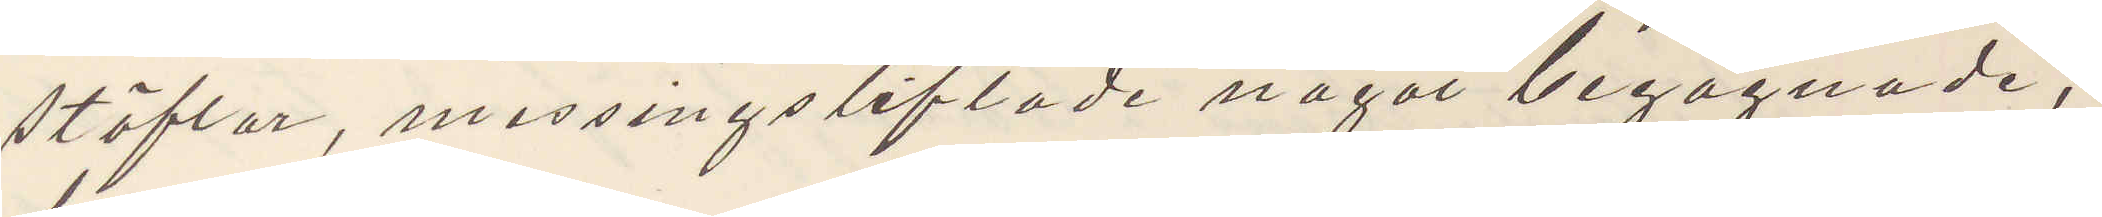stöflar, messingstiftade något begagnade,
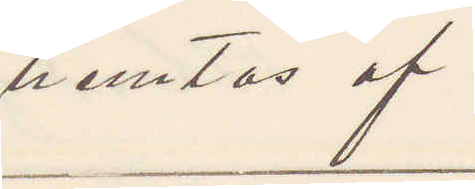hemtas af
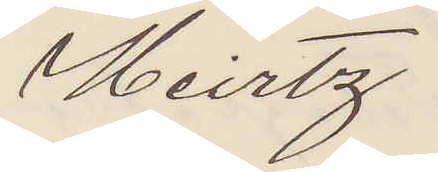Heirtz
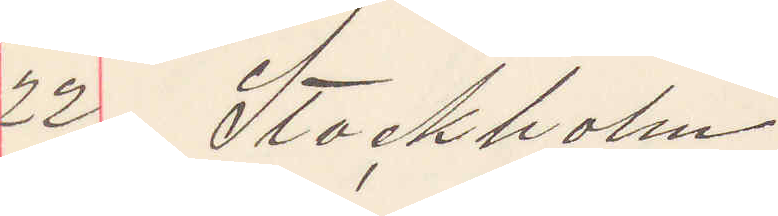22 Stockholm
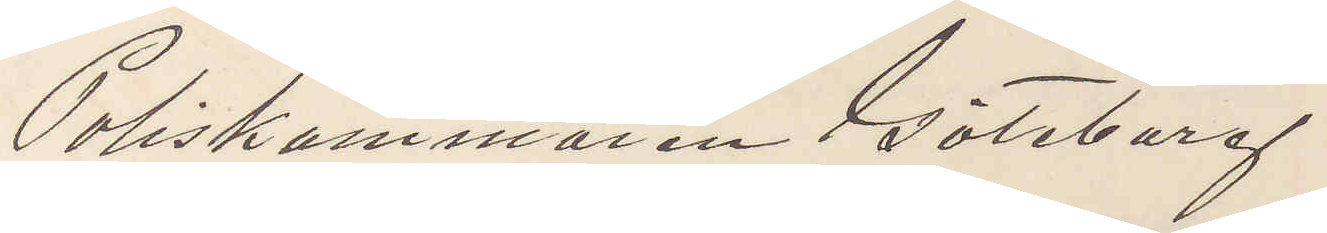Poliskammaren Göteborg
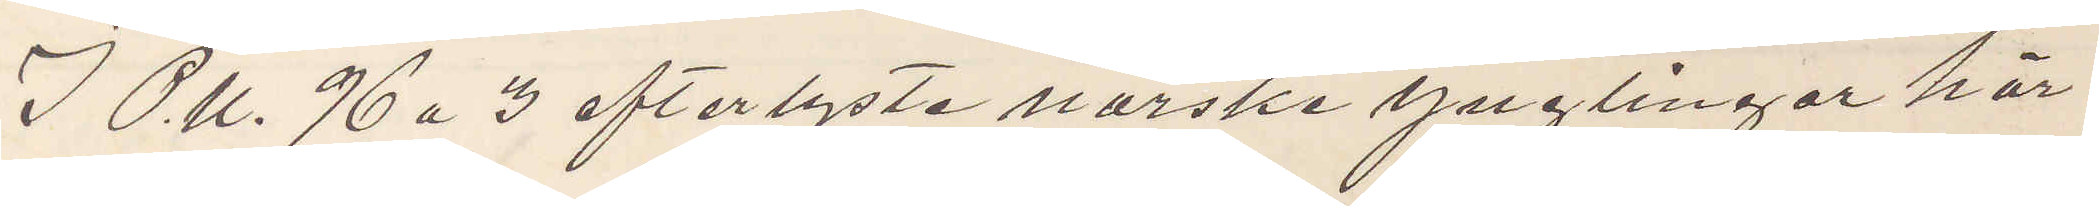I P.U. 96 a 3 efterlyste norske ynglingar här
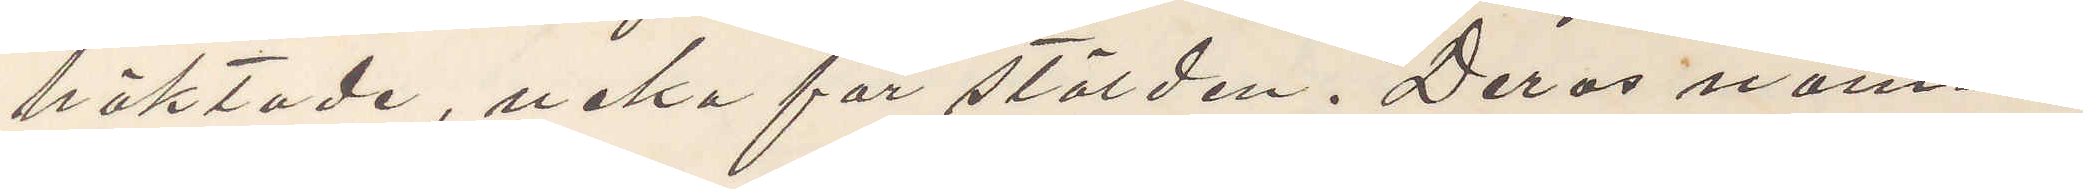häktade, neka för stölden. Deras namn
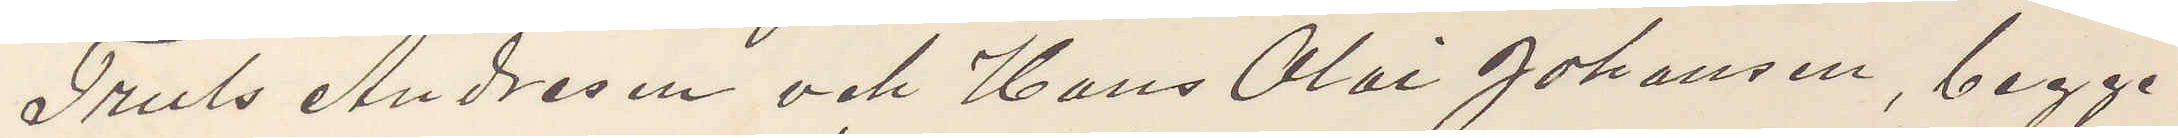Truls Andresen och Hans Olai Johansen, begge
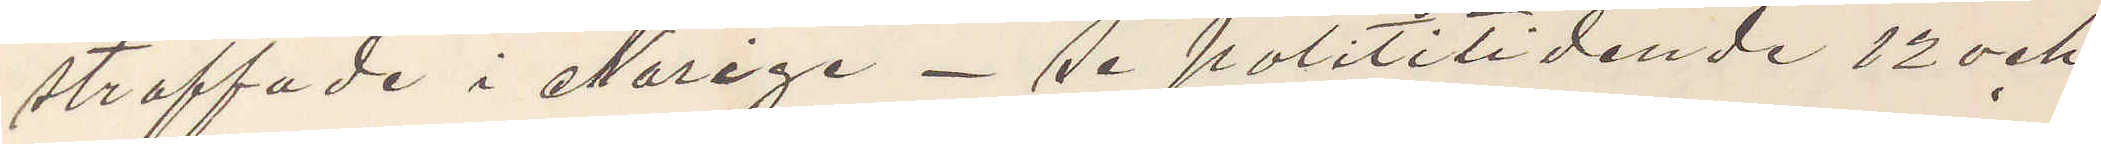straffade i Norige - se polititidende 12 och
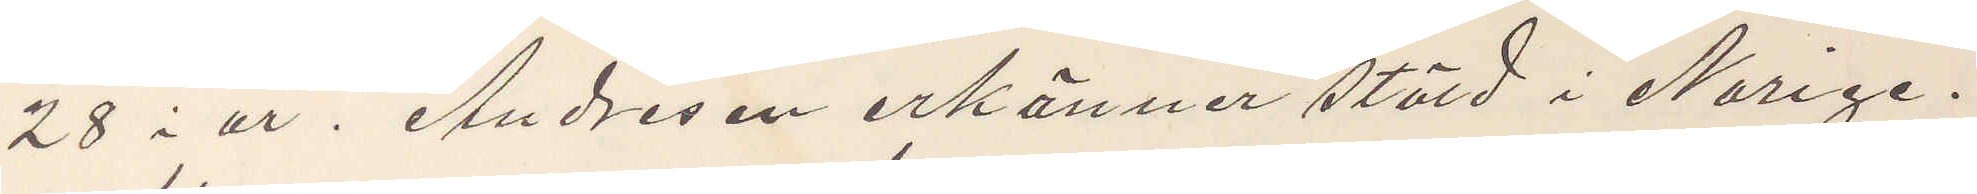28 i år. Andresen erkänner stöld i Norige.
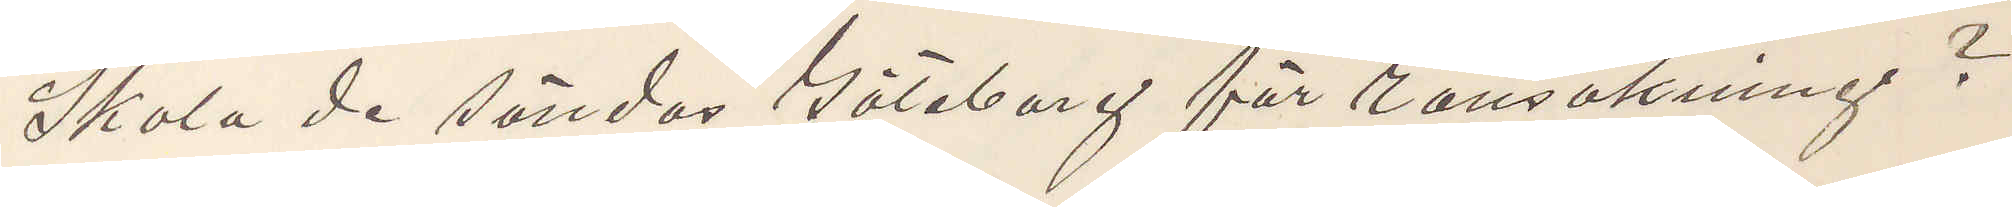Skola de sändas Göteborg för ransakning?
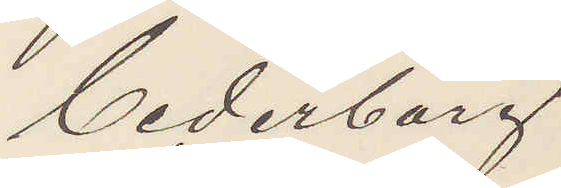Cederborg
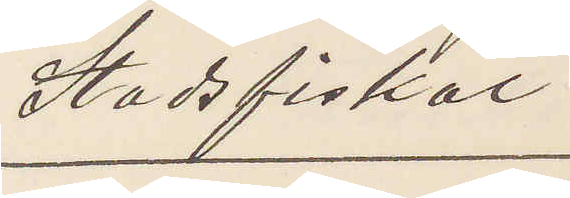Stadsfiskal
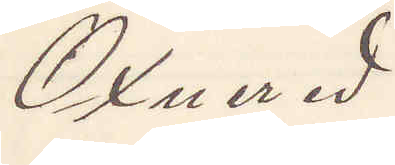Öxnered
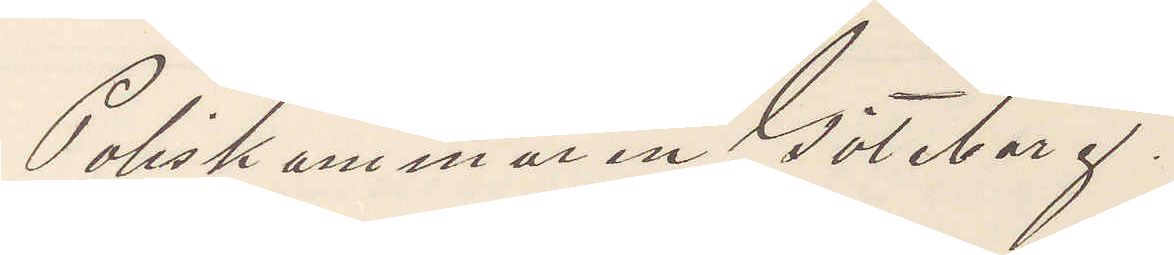Poliskammaren Göteborg.
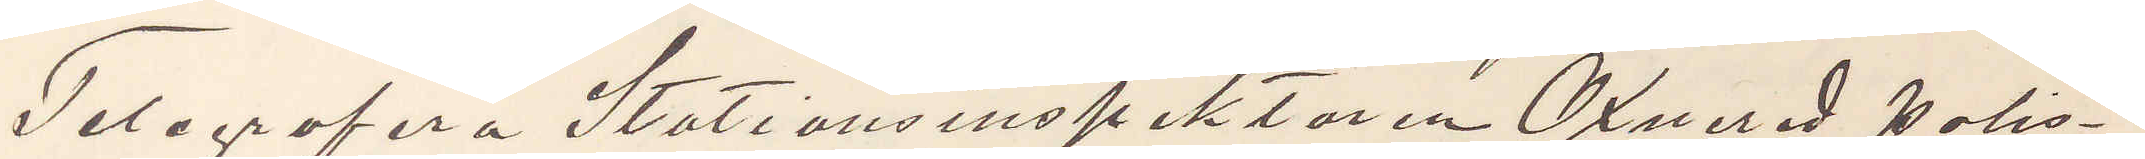Telegrafera Stationsinspektoren Öxnered Polis¬
